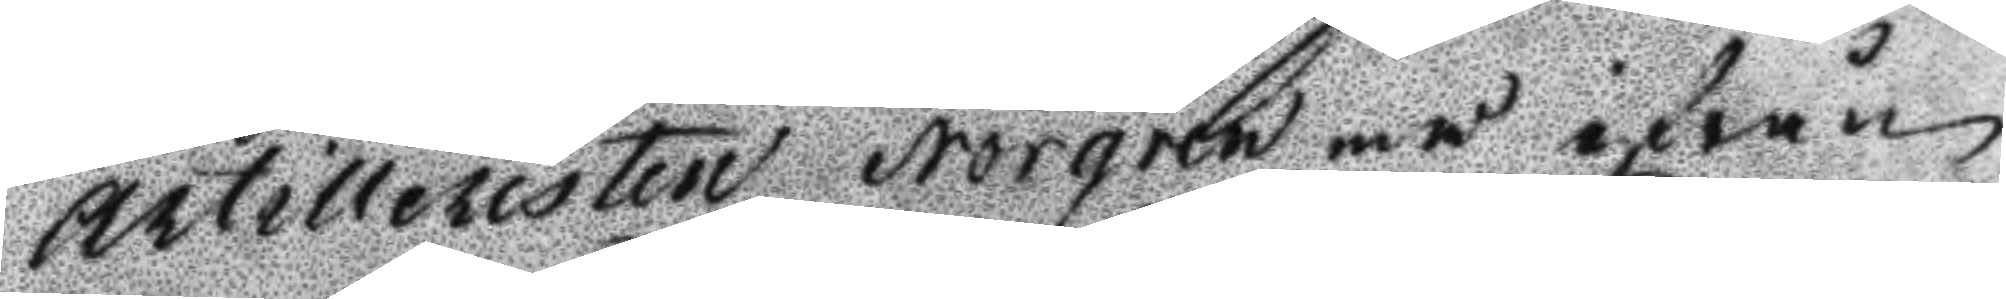Artilleristen Norgren må ifrån
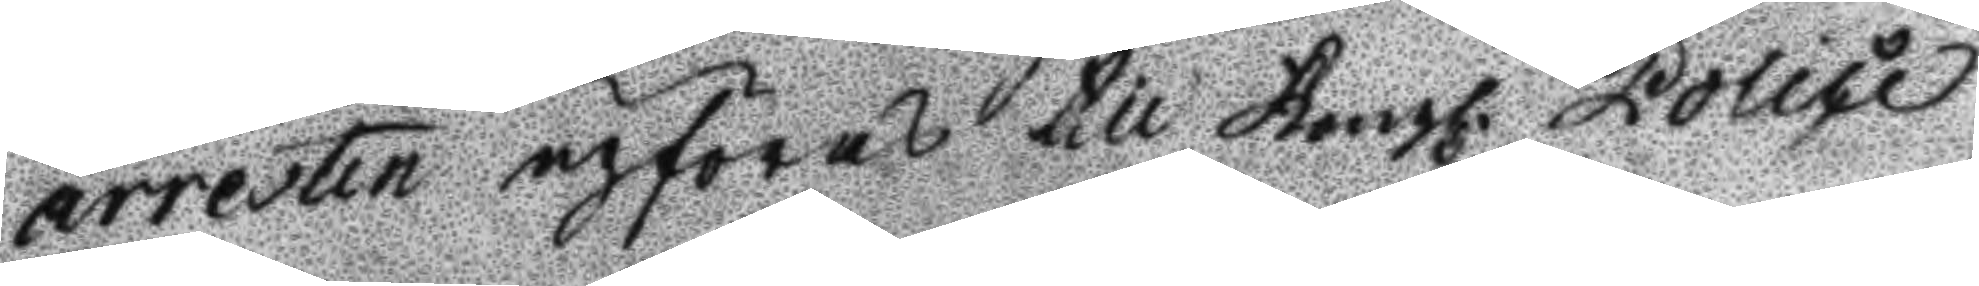arresten upföras till Kongl. Polici¬
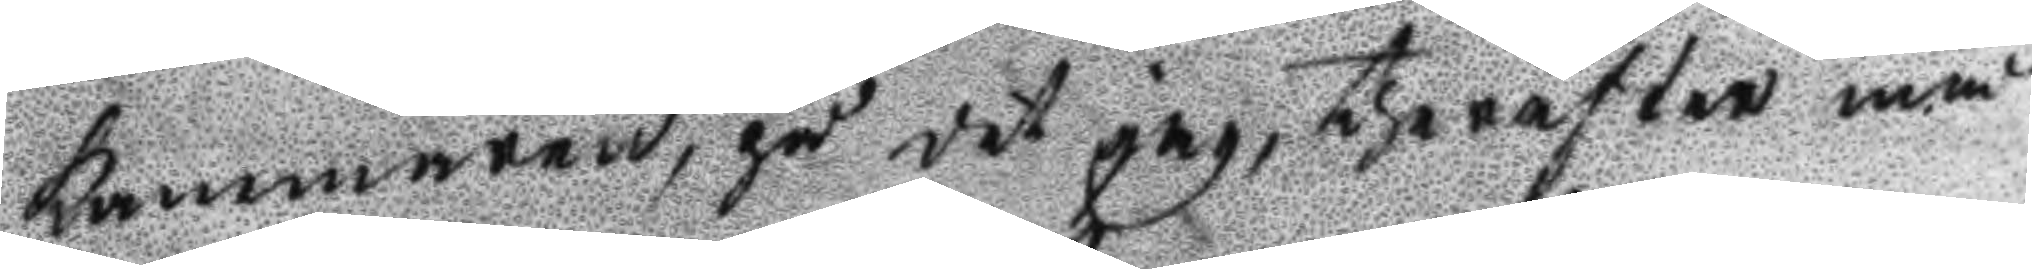kammaren, på det jag therefter må
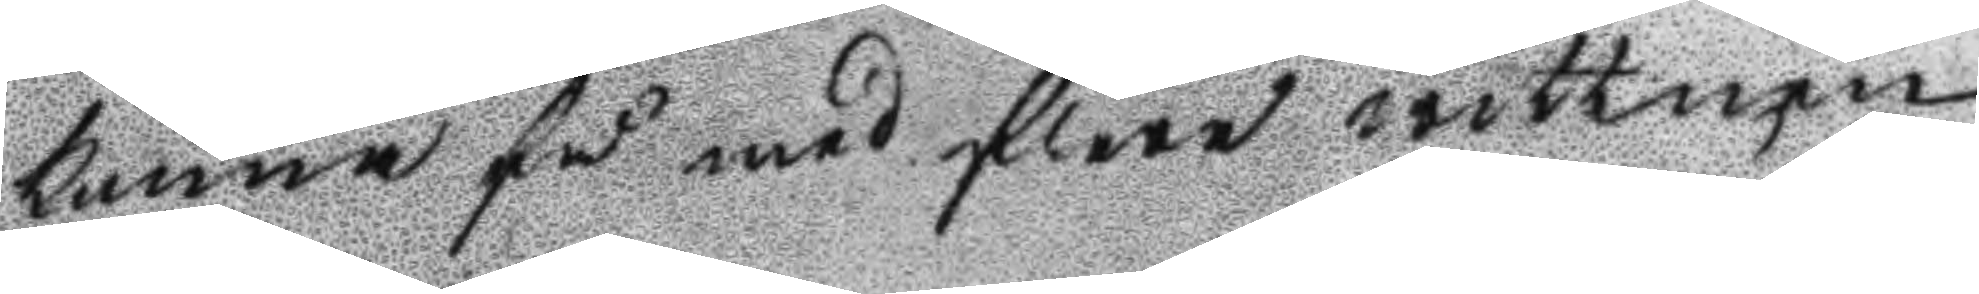kunna få med flera wittnen
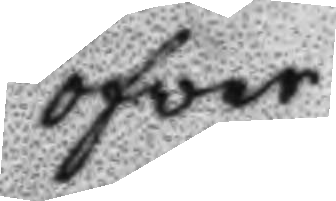öfwer
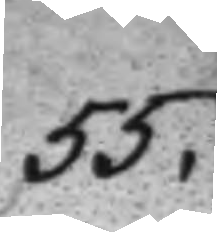55.
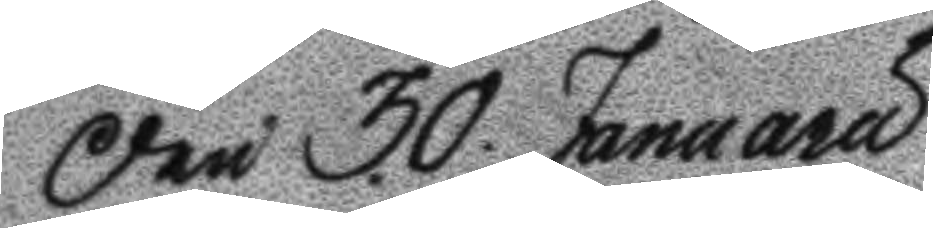Den 30 Januaru
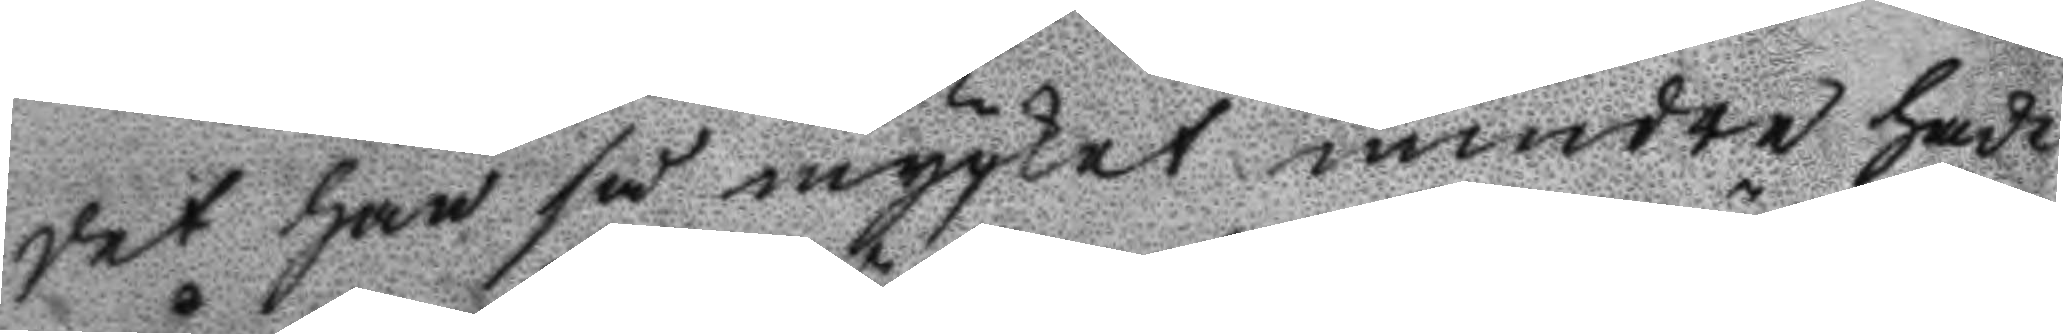det han så mycket mindre hade
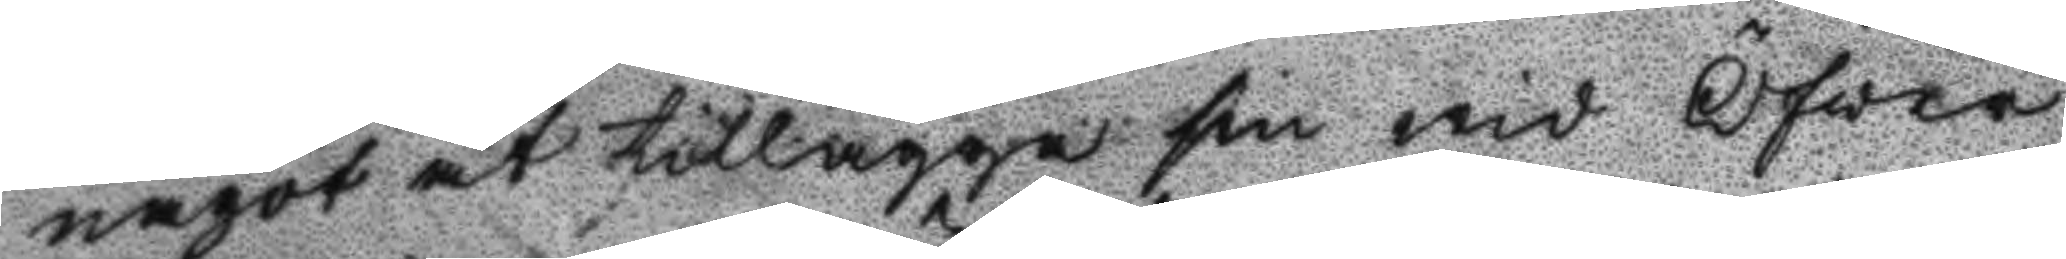något at tillägga sin wid Öfver
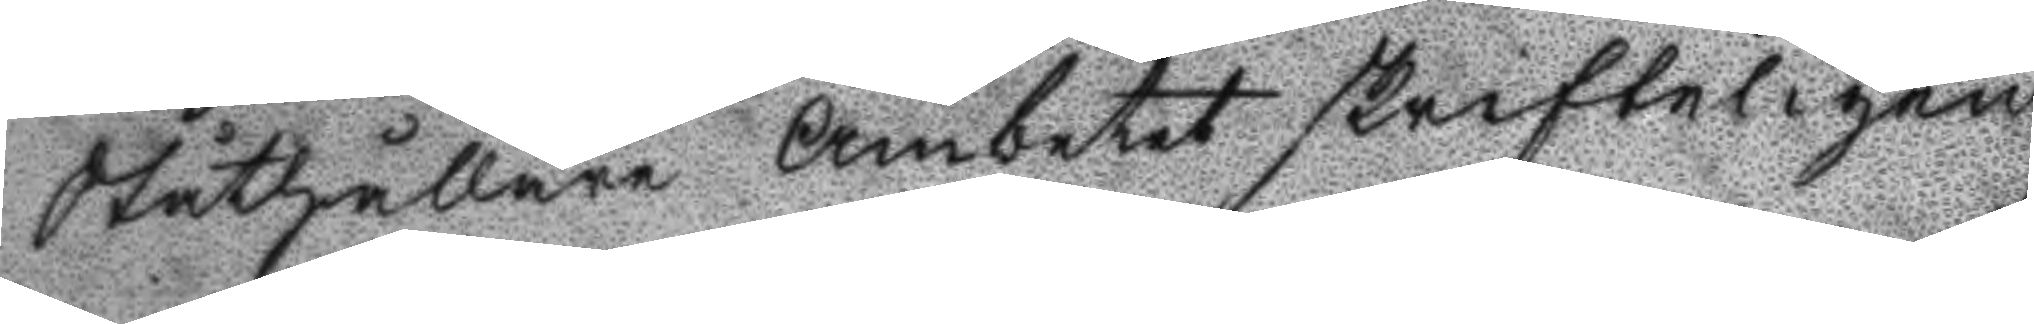Ståthållare Ämbetet skrifteligen
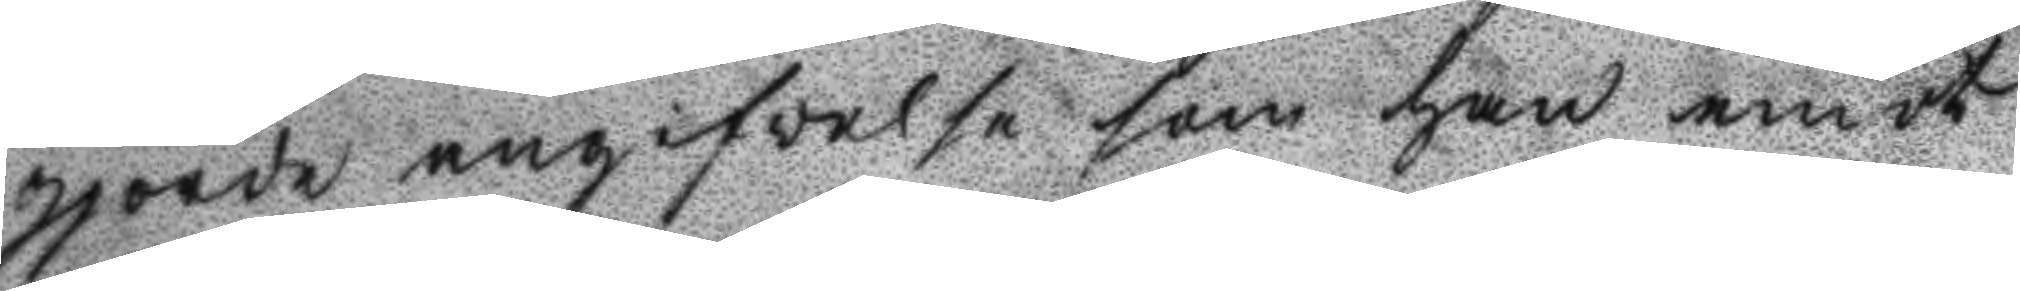gjorde angifvelse som han emot
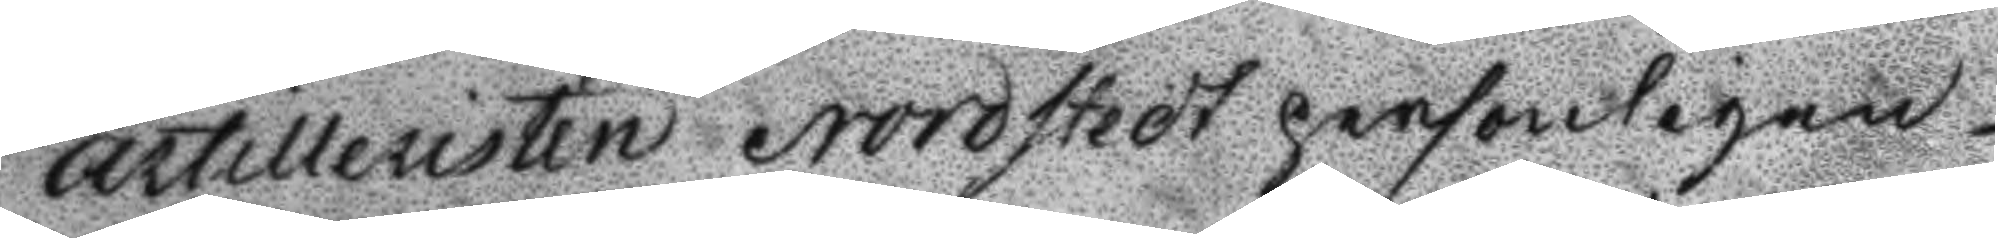artilleristen Nordstedt personligen
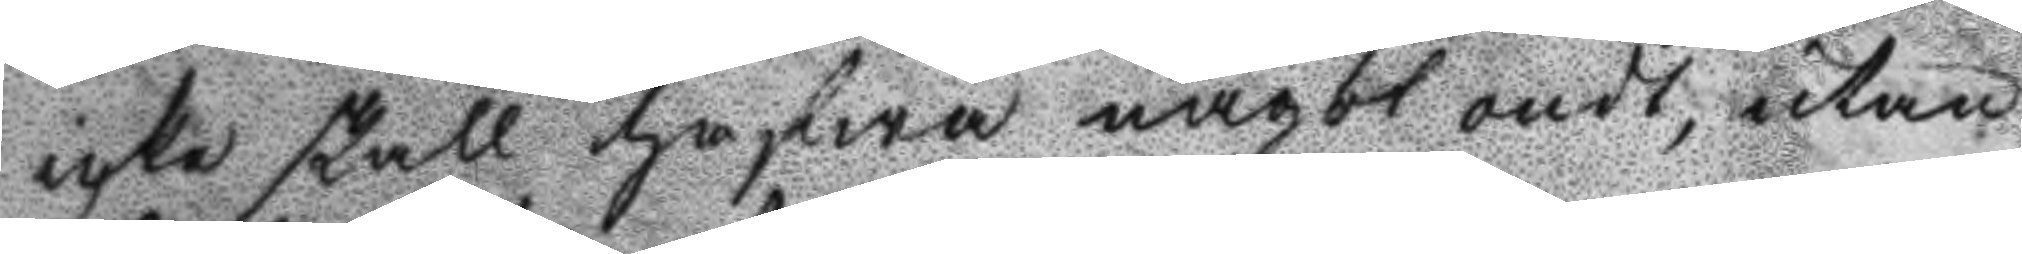icke skall hafwa något ondt, utan
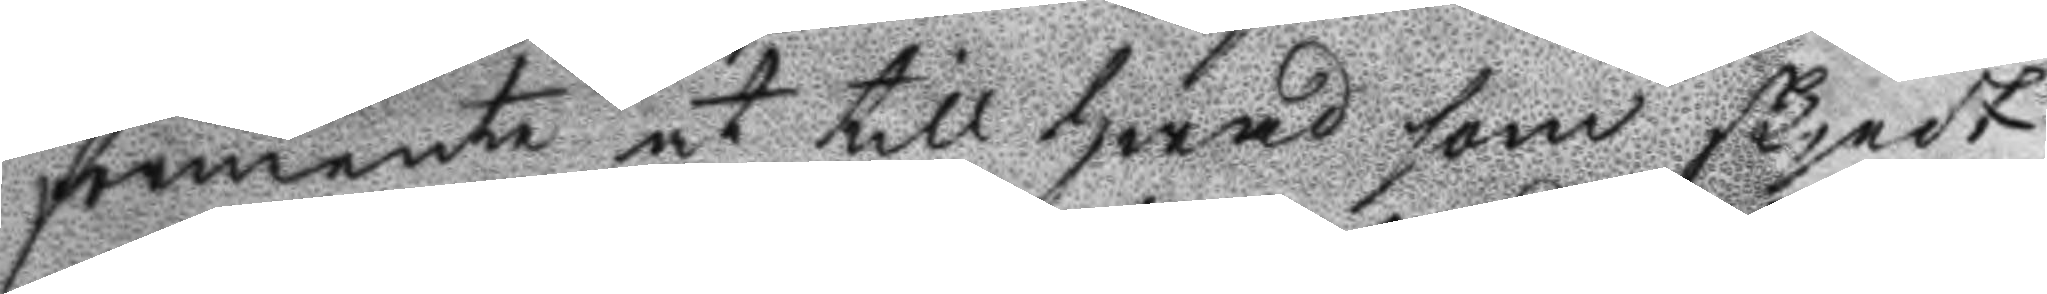förmente at till hwad som skjedt
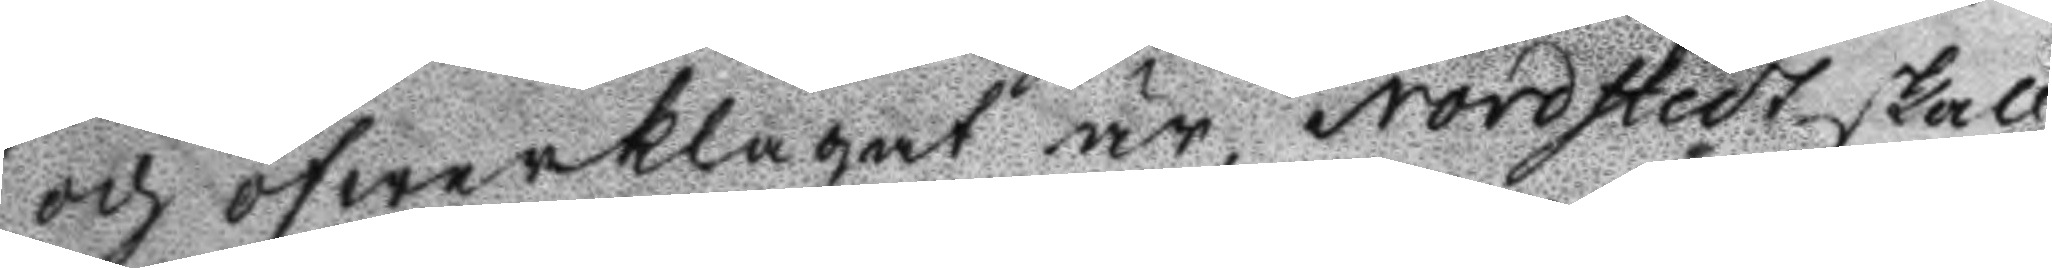och öfwerklagat är, Nordstedt skall
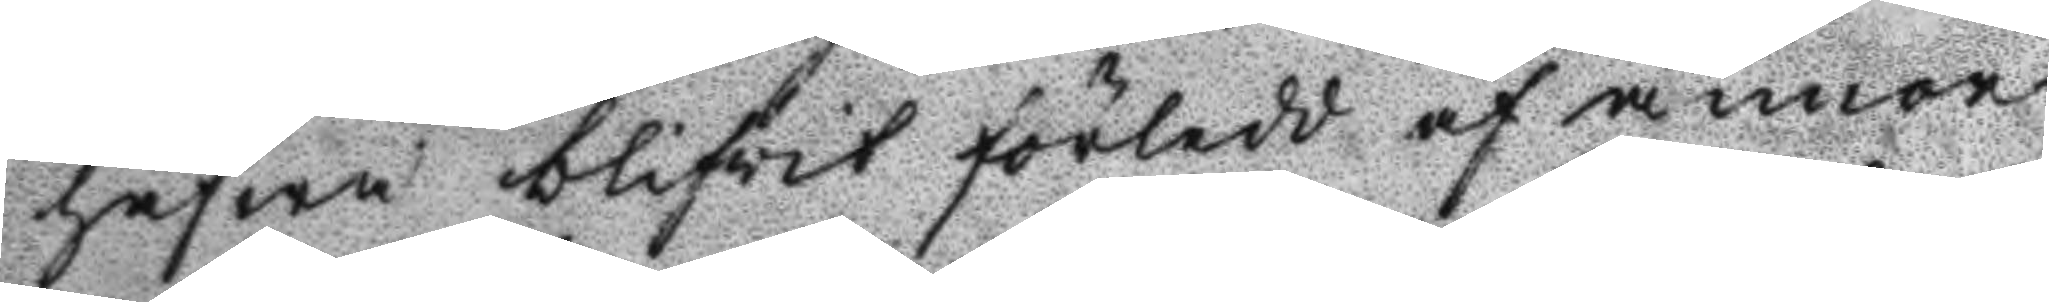hafwa blifvit förledd af annor
